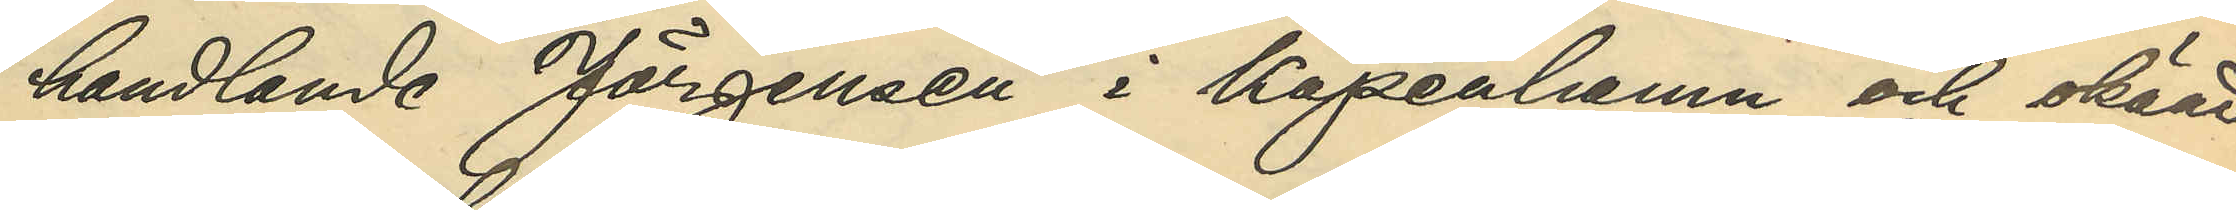handlande Jörgensen i Köpenhamn och okänd
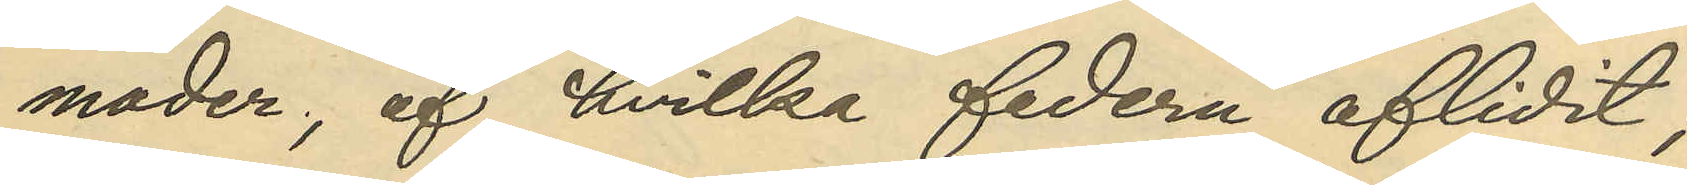moder, af hvilka fadern aflidit;
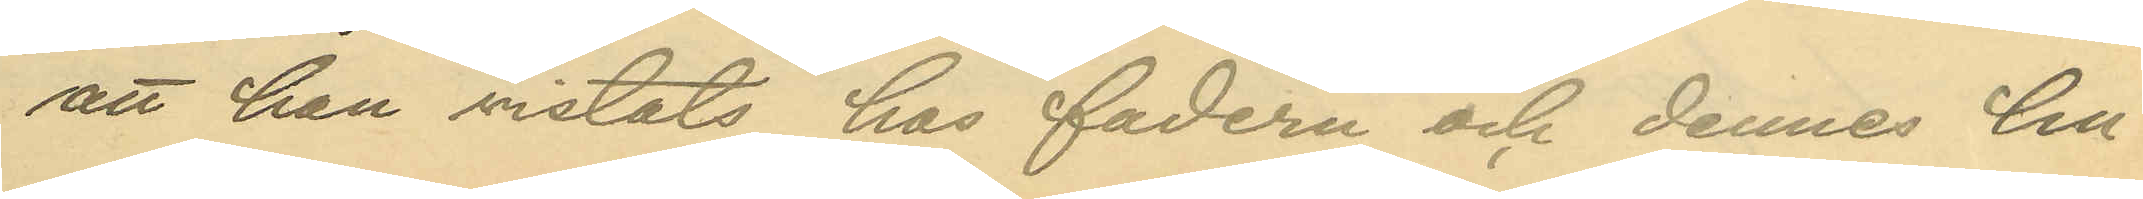att han vistats hos fadern och dennes hu¬
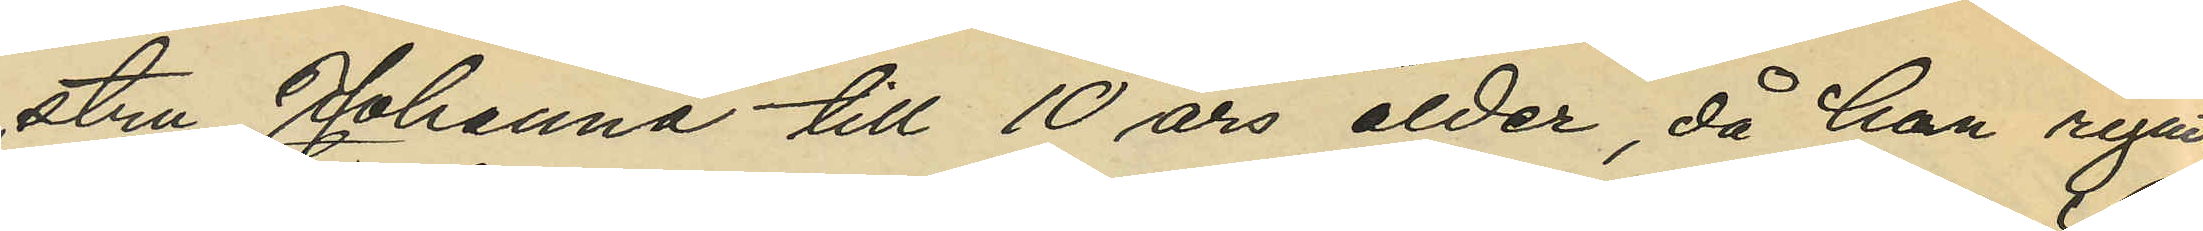stru Johanna till 10 års ålder, då han rymt
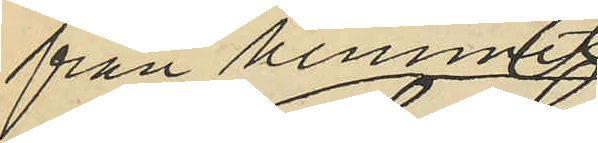från hemmet
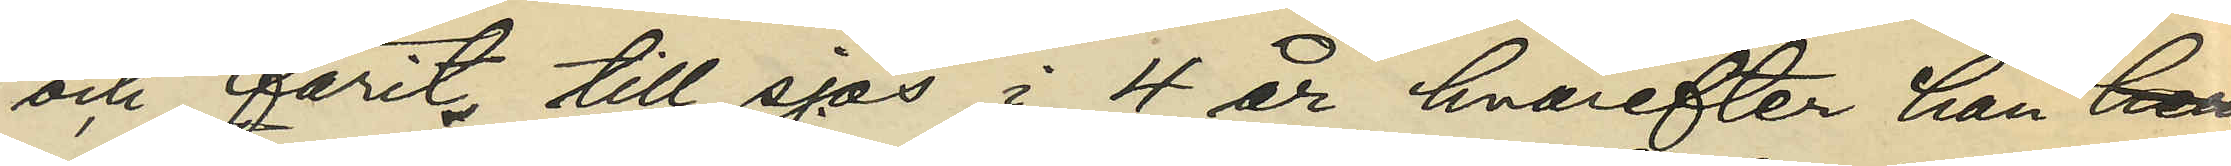och farit till sjös i 4 år hvarefter han hem
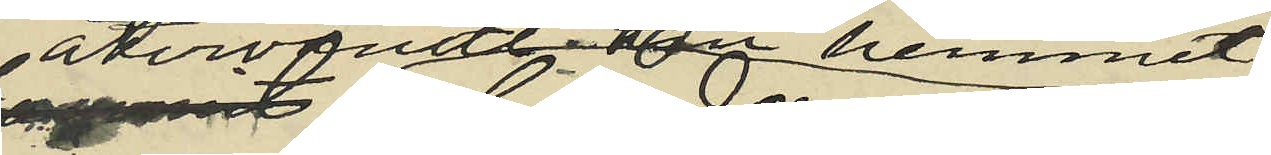återvändt till hemmet
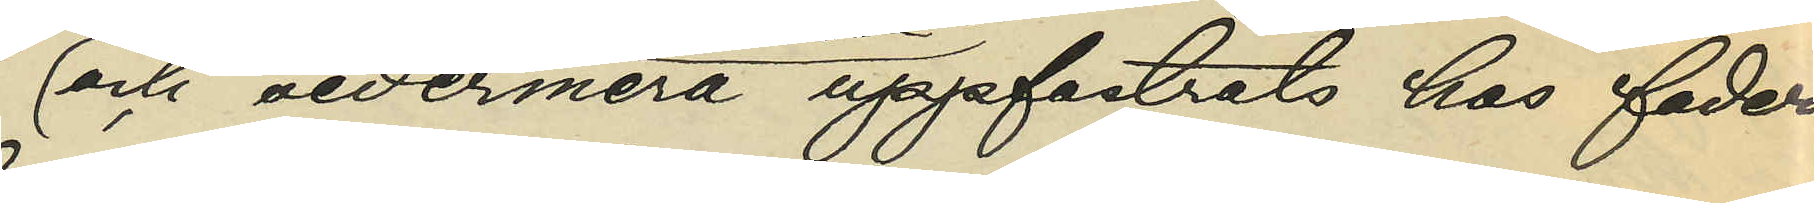och sedermera uppfostrats hos fadern
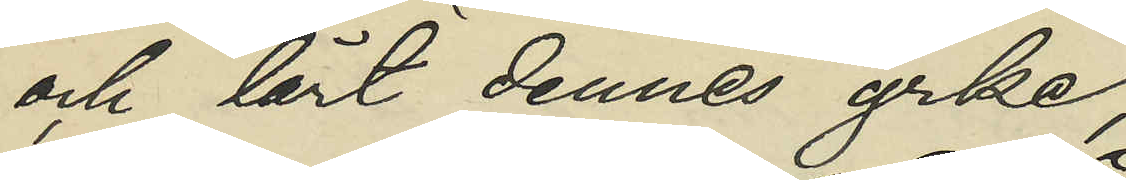och lärt dennes yrke;
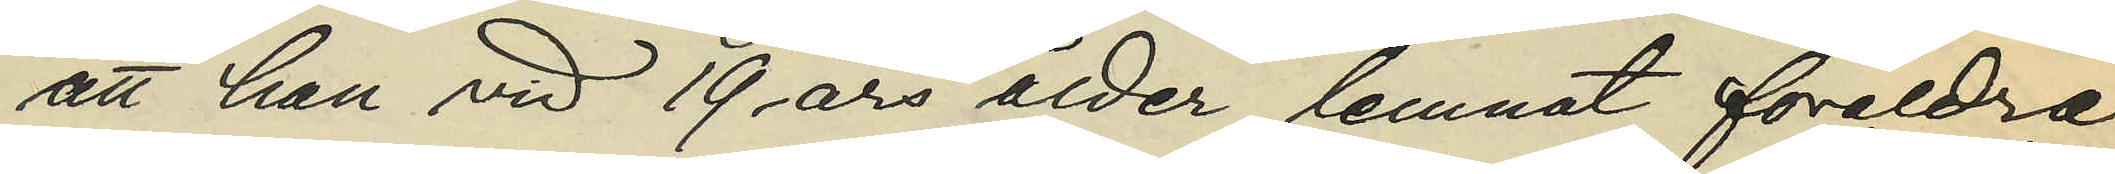att han vid 19 års ålder lemnat föräldra¬
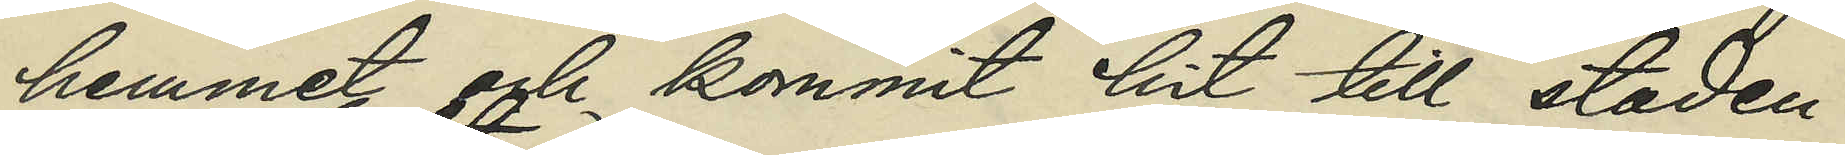hemmet och kommit hit till staden
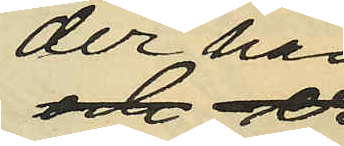der han
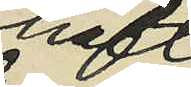haft
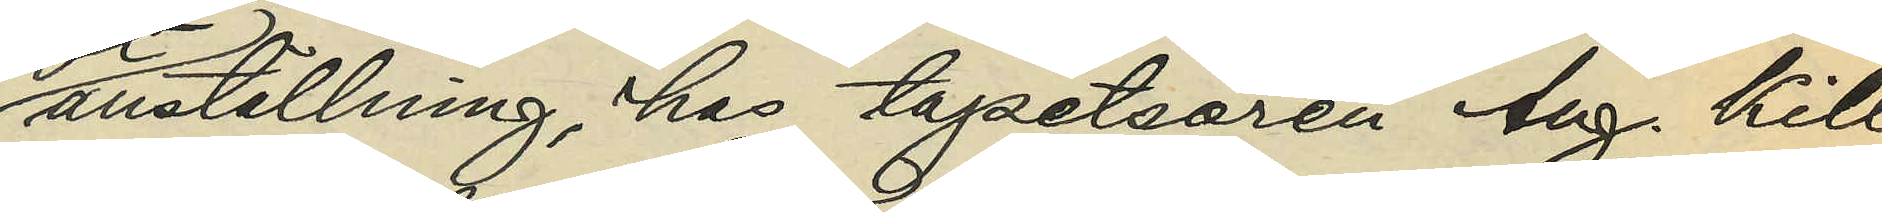anställning, hos tapetsören Aug. Kill¬
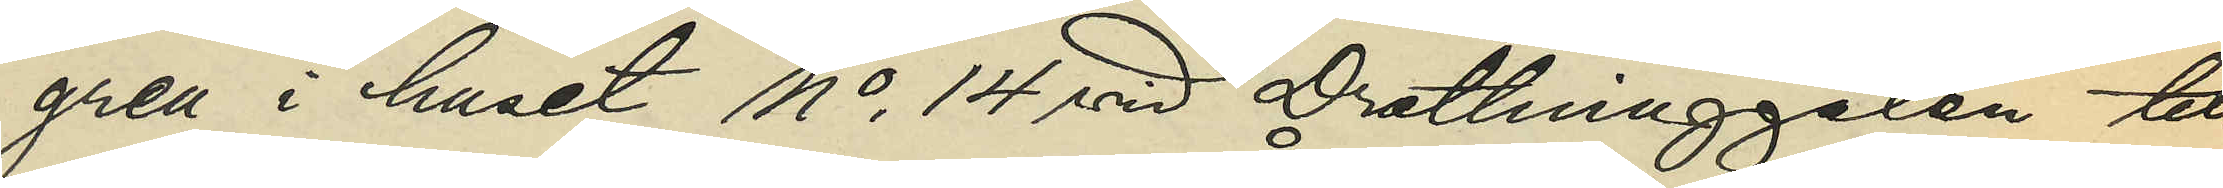gren i huset No 14 vid Drottninggatan till
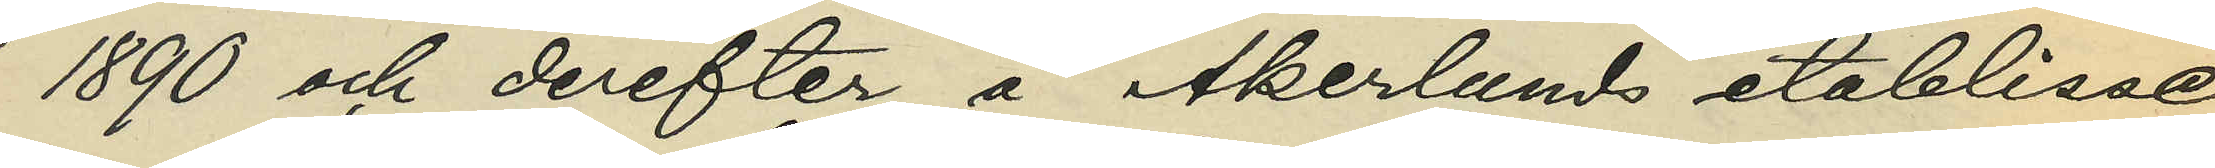1890 och derefter å Åkerlunds etablisse¬
